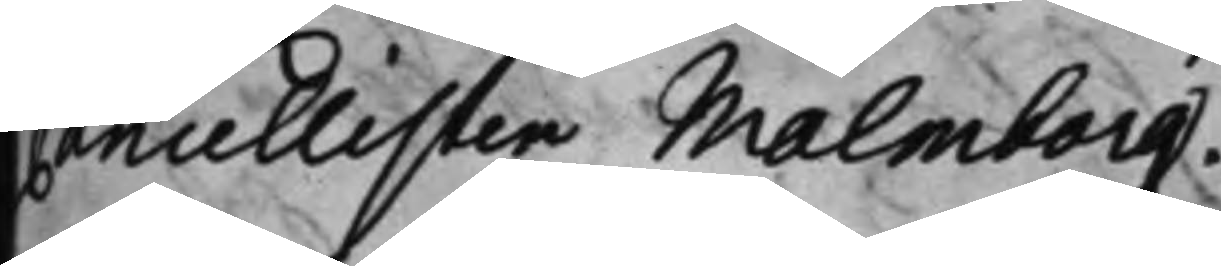Cancellisten Malmberg.
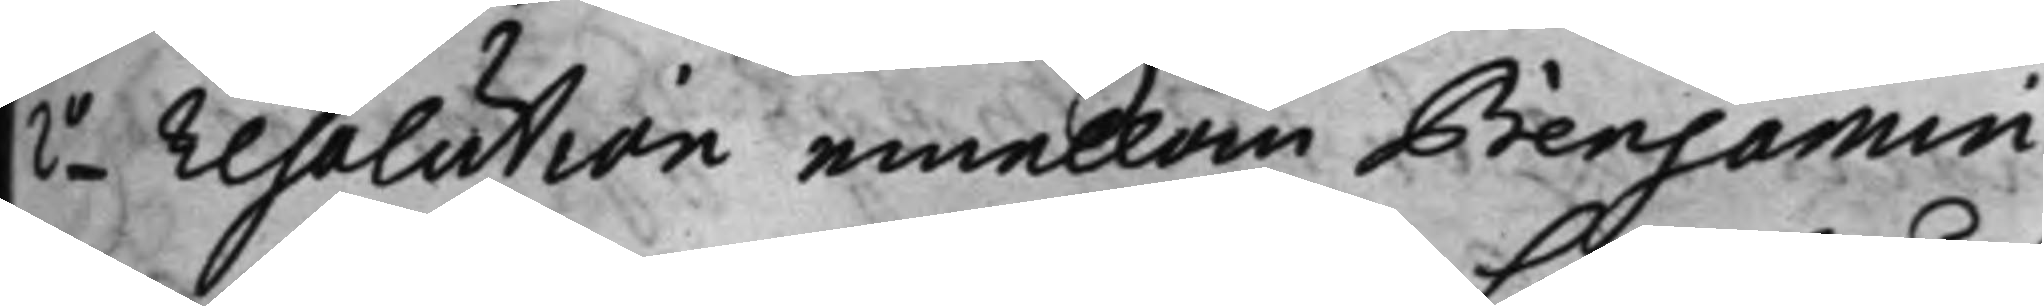2o resolution emellan Benjamin
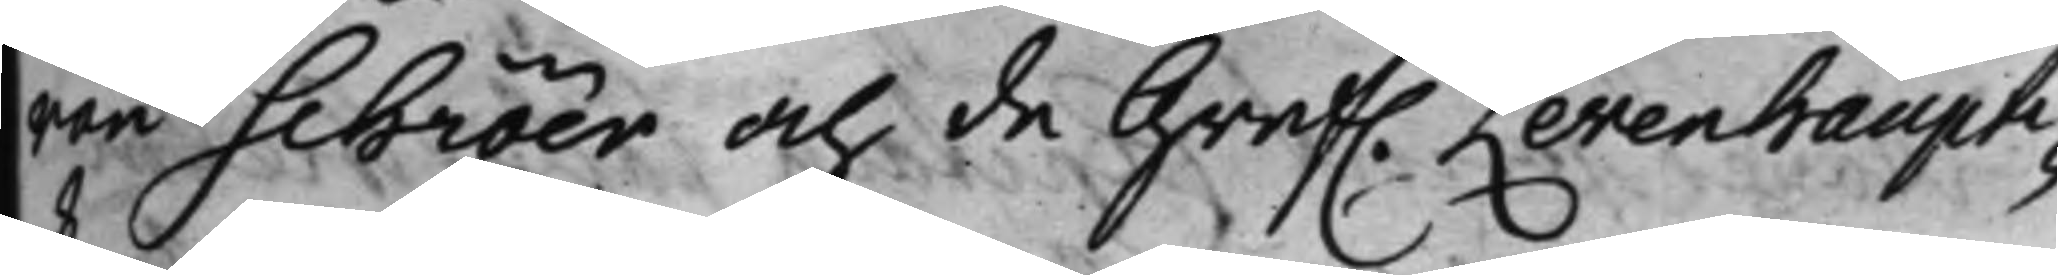von Schröer och de Gref. Levenhaupti¬
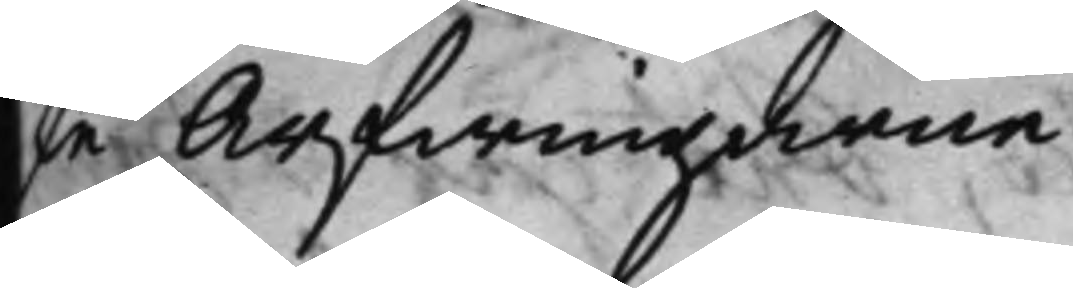ske Arfwingarne
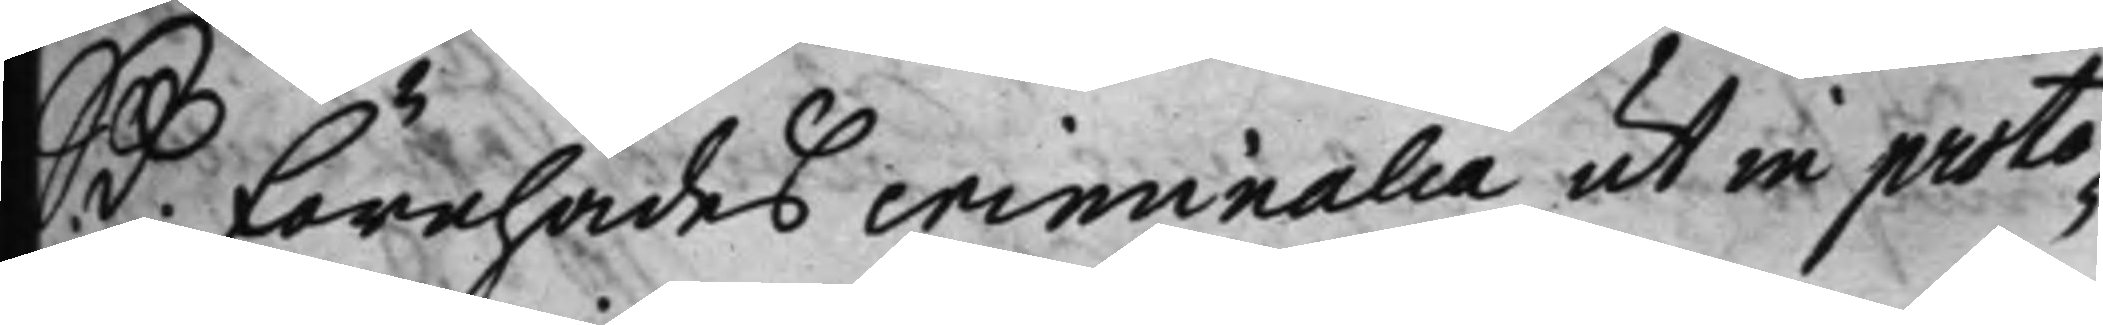 S:D: Förehades criminalia ut in proto¬
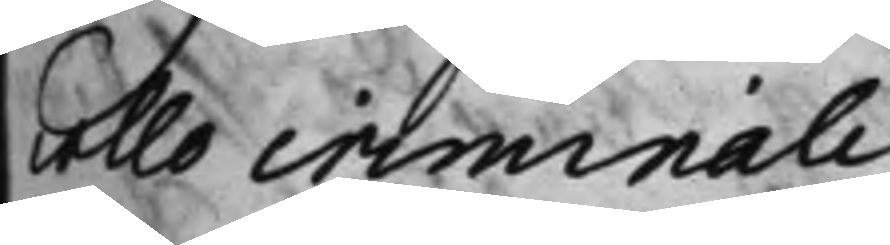collo criminali.
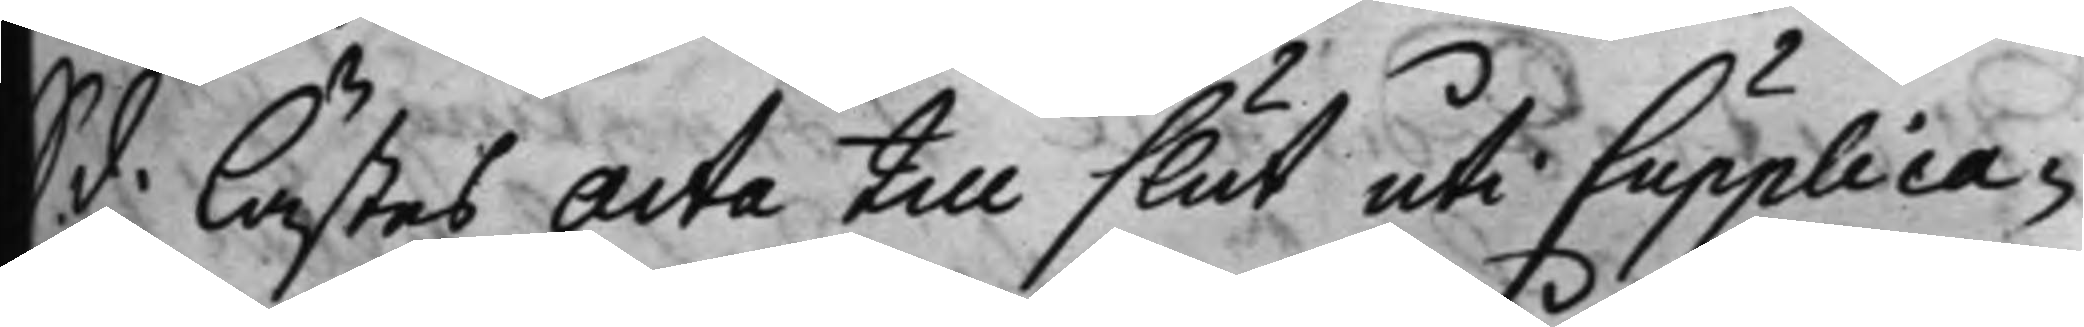S.d. Lästes acta till slut uti Supplica¬
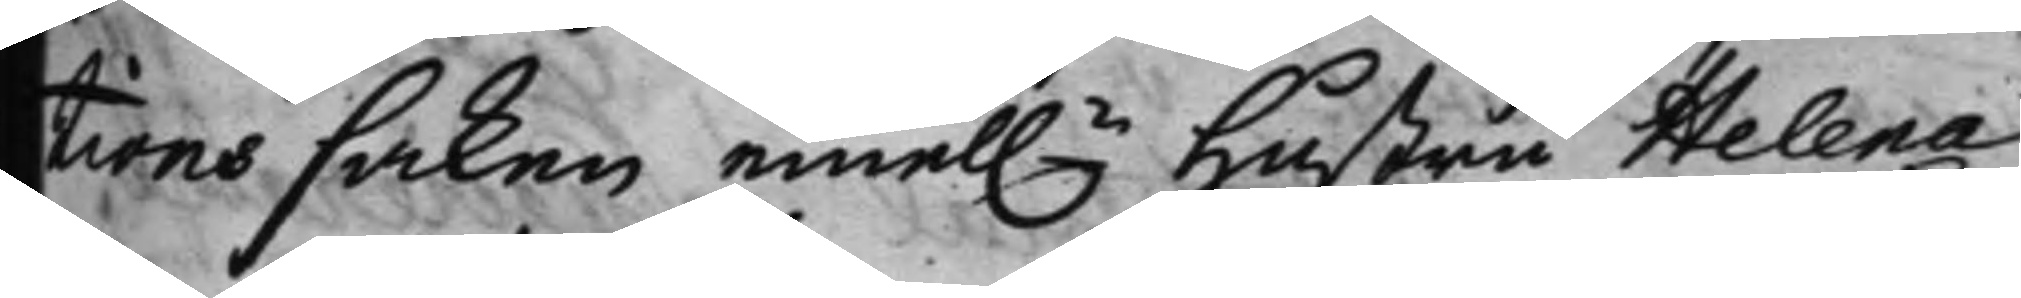tions saken emel.n Hustru Helena
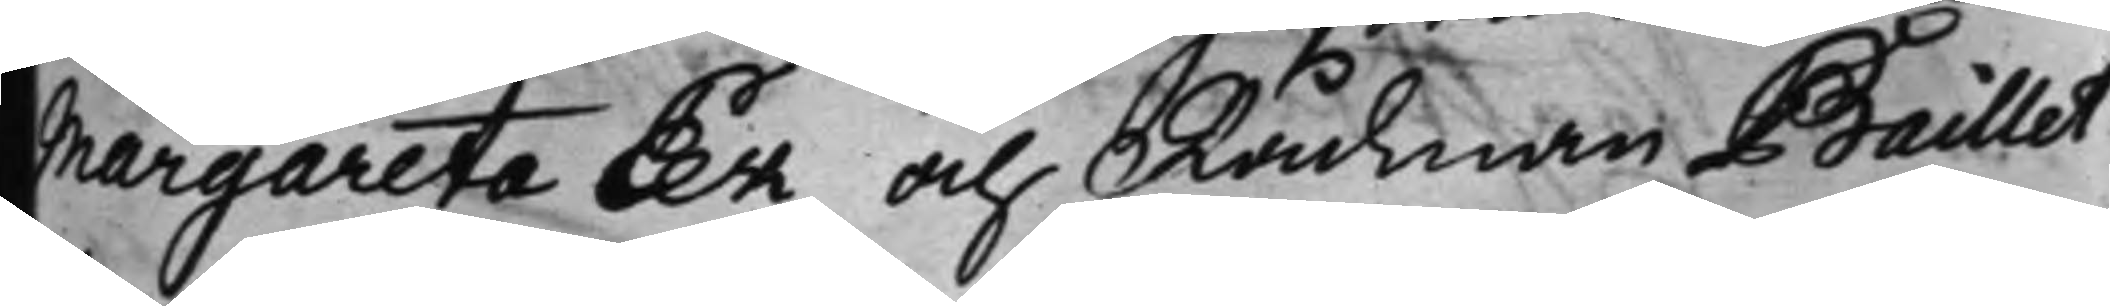Margareta Eek och Rådman Baillet
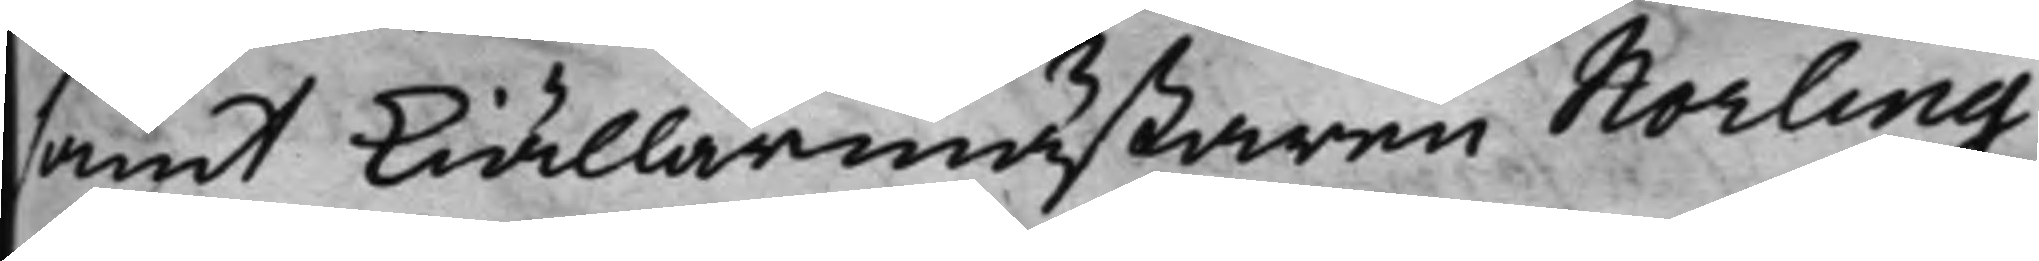samt kiällarmästaren Norling
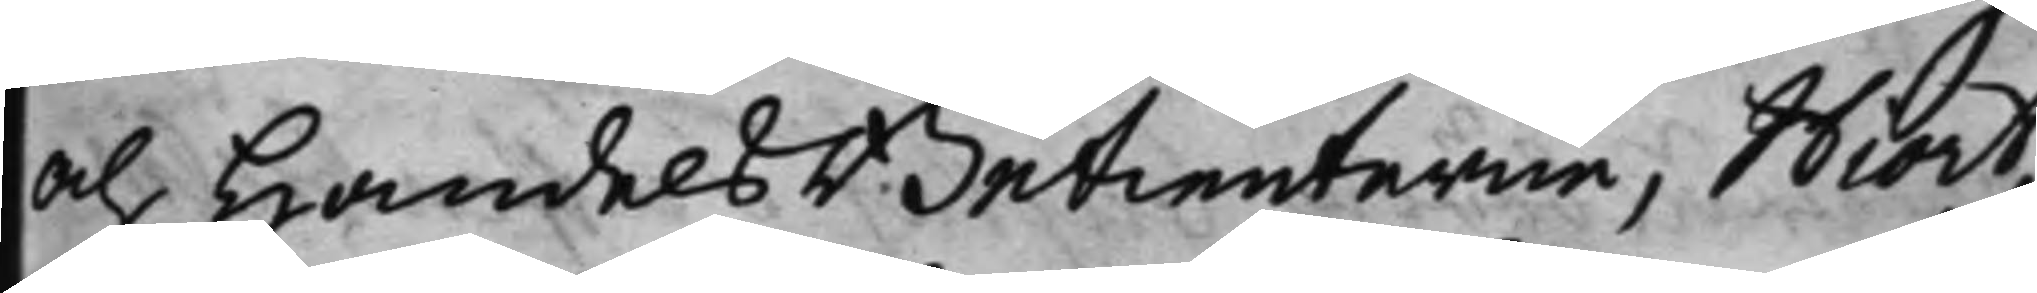och HandelsBetienterne, Hiort,
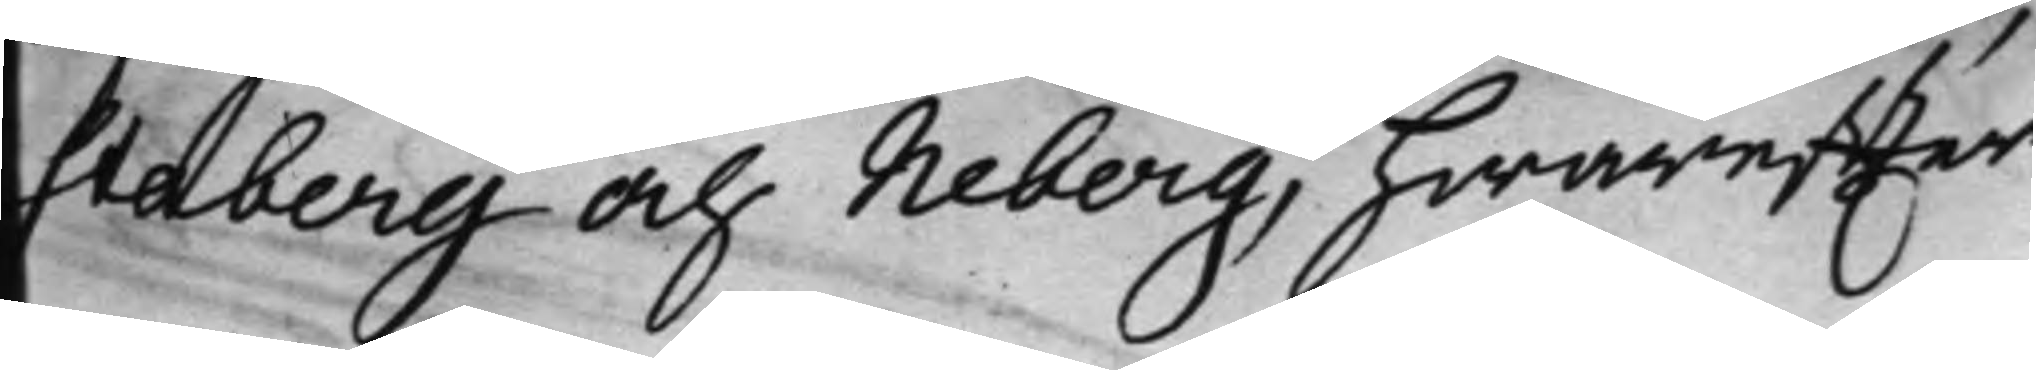Staberg och Neberg, hwareffter
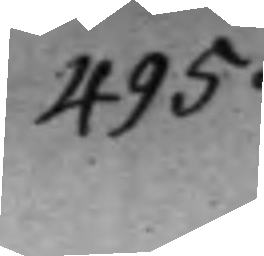495.
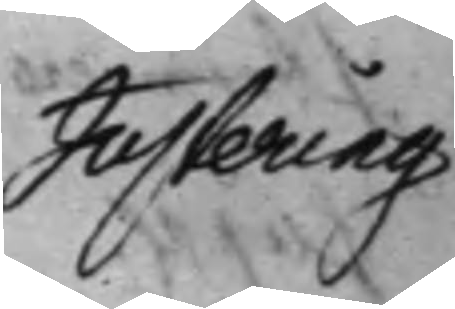Justering
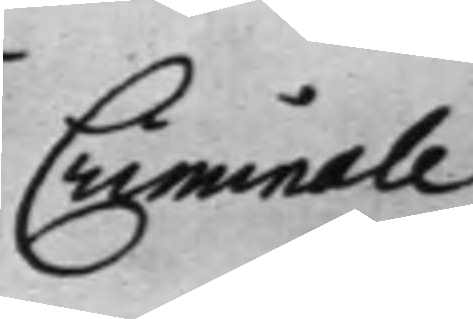Criminale
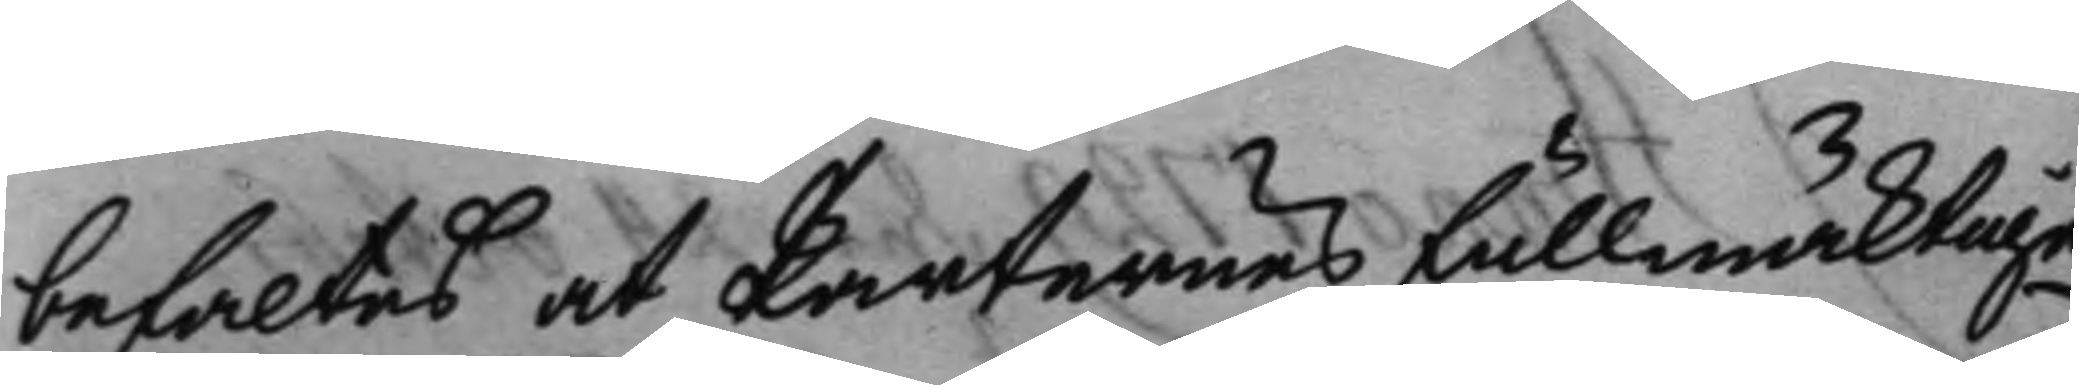befaltes at Parternes fullmäcktige
